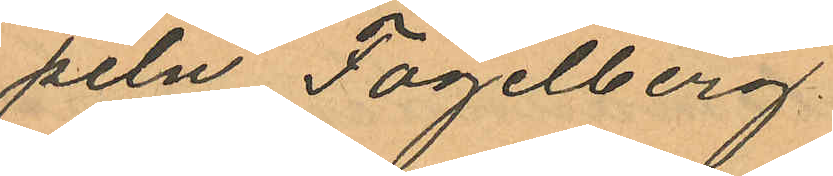peln Fogelberg.
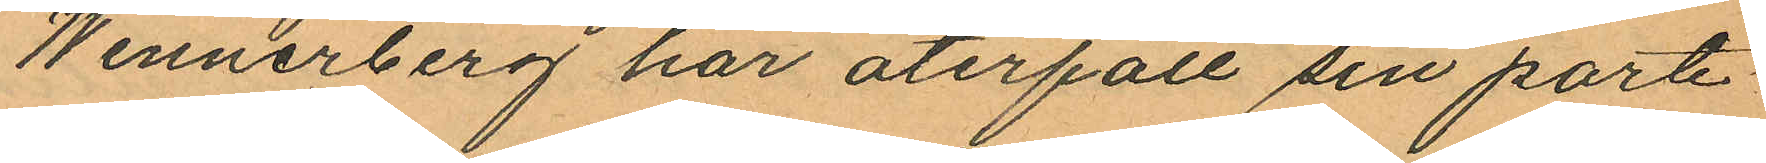Wennerberg har återfått sin porte¬
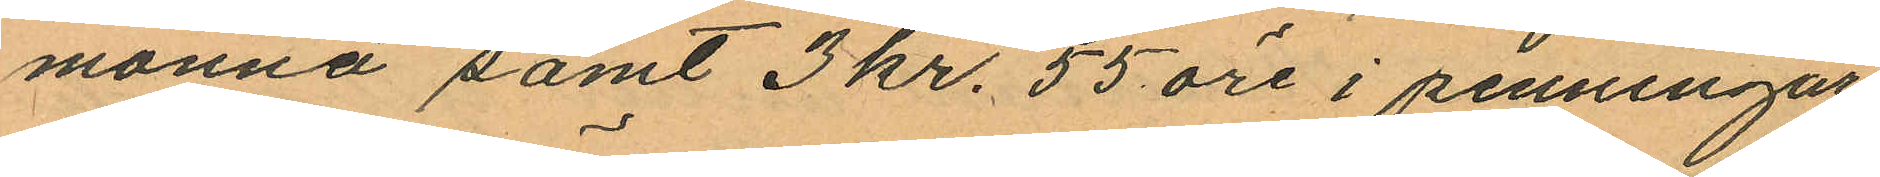monnä samt 3 kr. 55 öre i penningar.
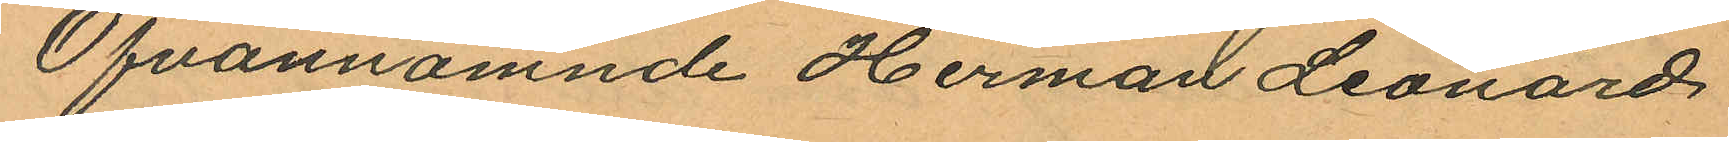Ofvannämnde Herman Leonard
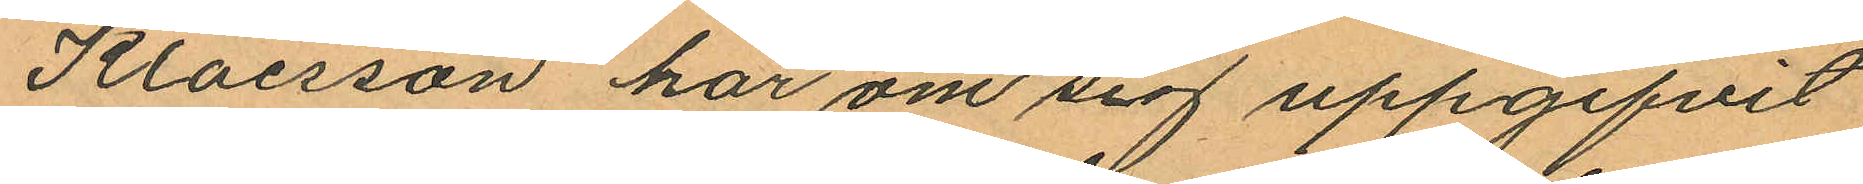Klaesson har om sig uppgifvit
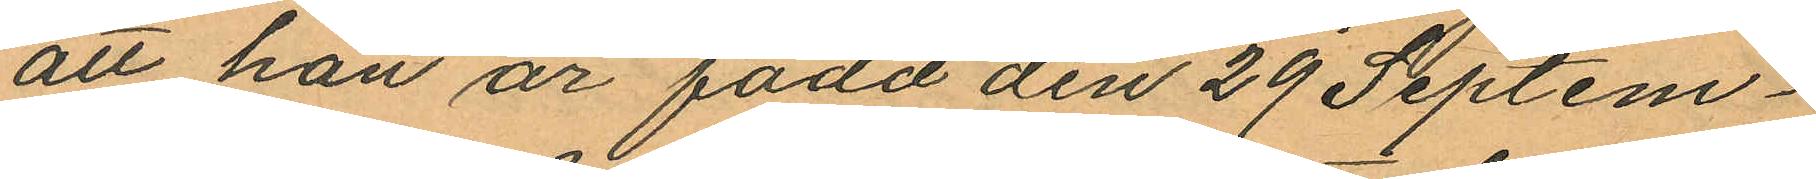att han är född den 29 Septem¬
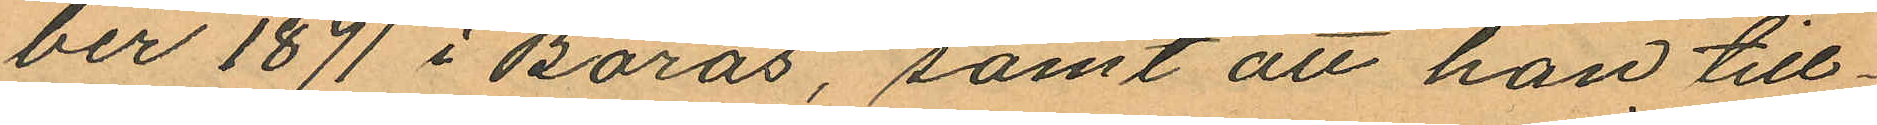ber 1871 i Borås, samt att han till¬
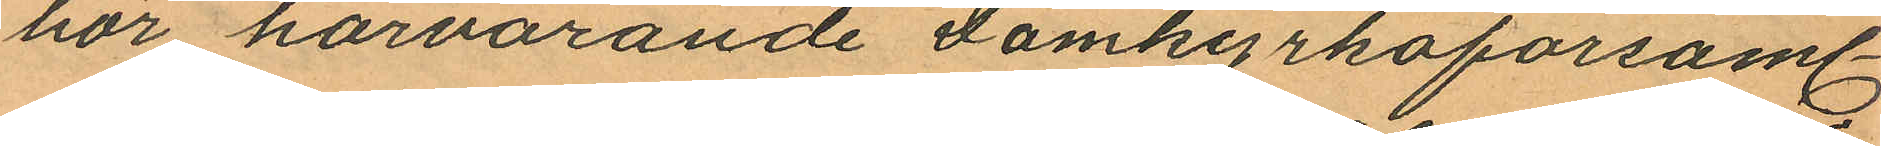hör härvarande Domkyrkoförsaml.
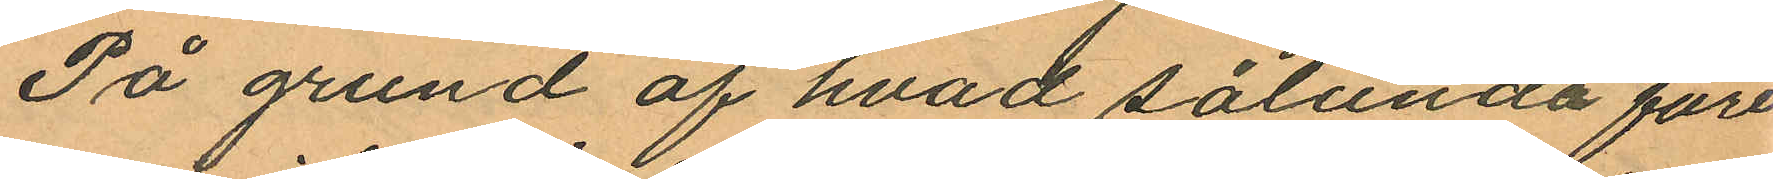På grund af hvad sålunda före
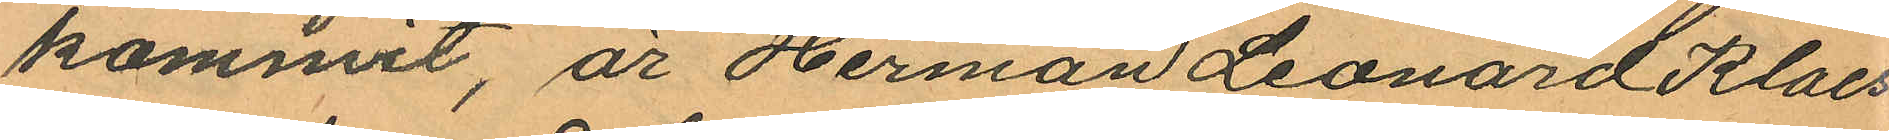kommit, är Herman Leonard Klaes
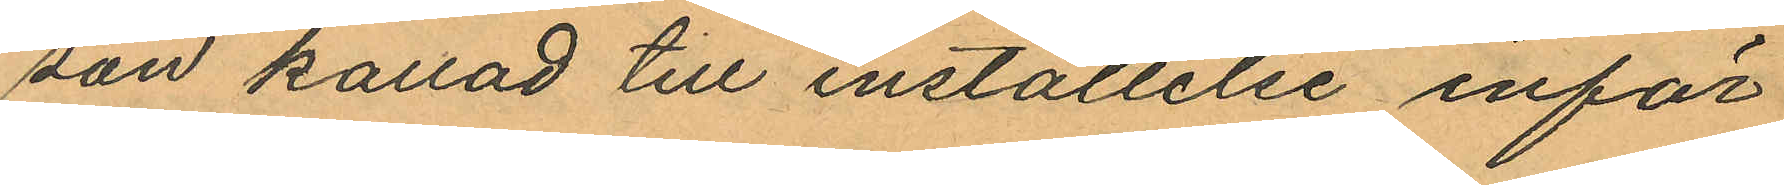san kallad till inställelse inför
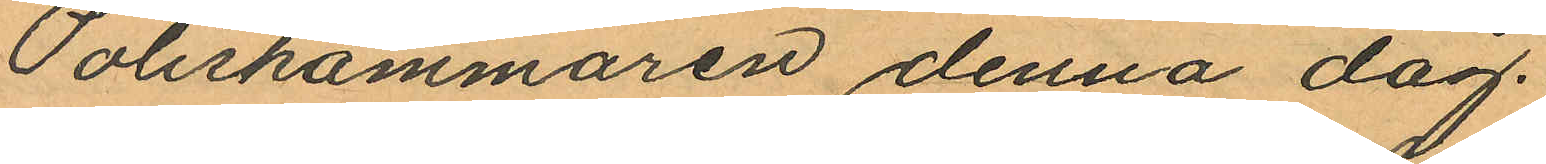Poliskammaren denna dag.
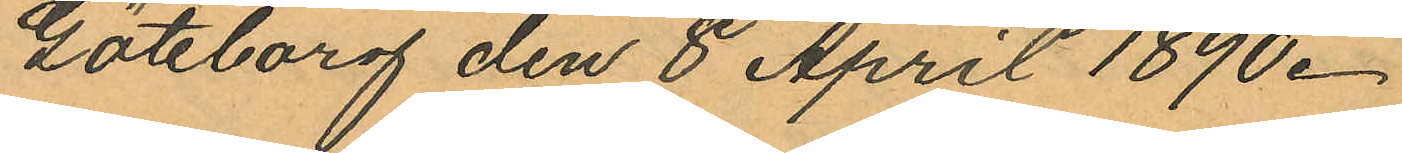Göteborg den 8 April 1890.
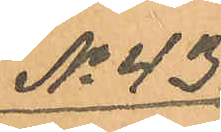No 43.
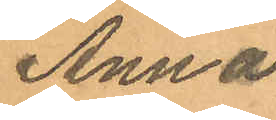Anna
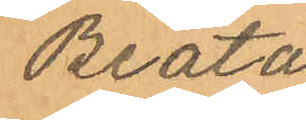Beata
